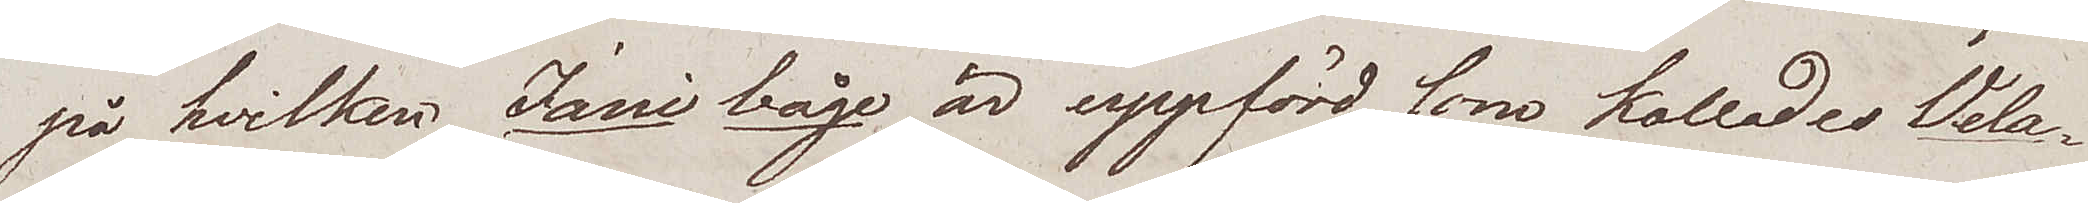på hvilken Jani båge, är uppförd som kallades Vela¬
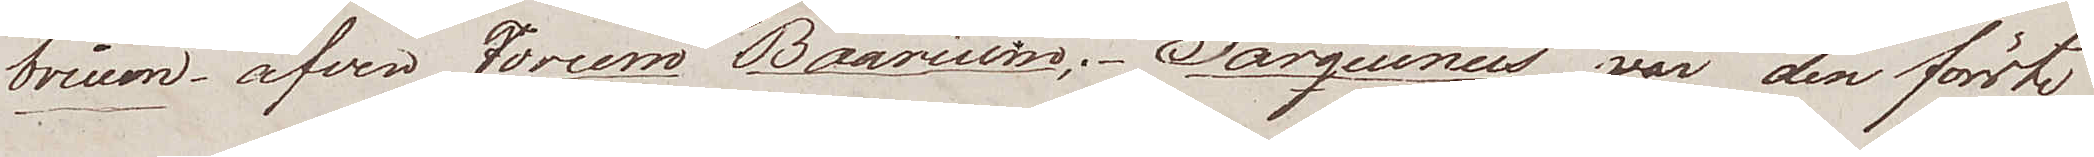brium, äfven Forum Boarium. Tarquinus var den förste
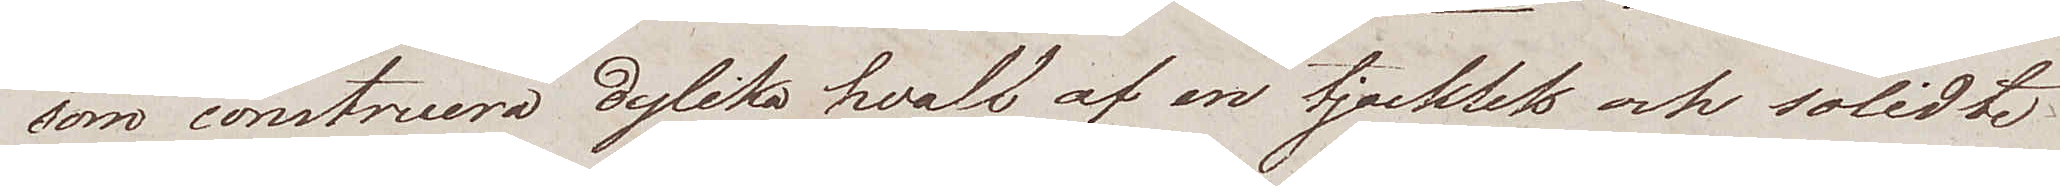som construera dylika hvalf af en tjocklek och solidté
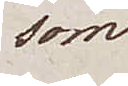som
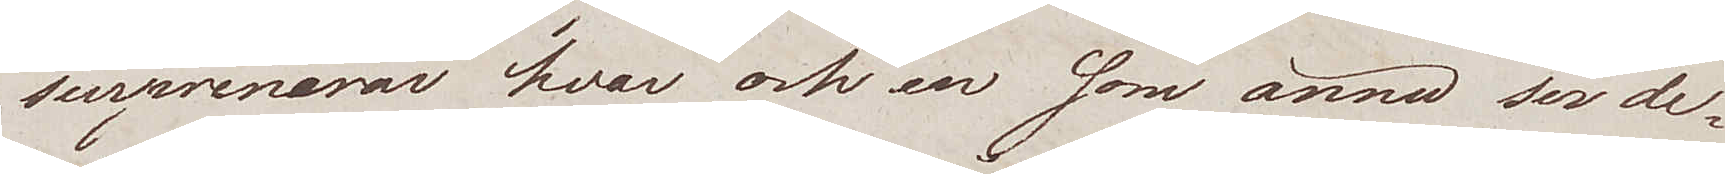surprenerar hvar och en som ännu ser de¬
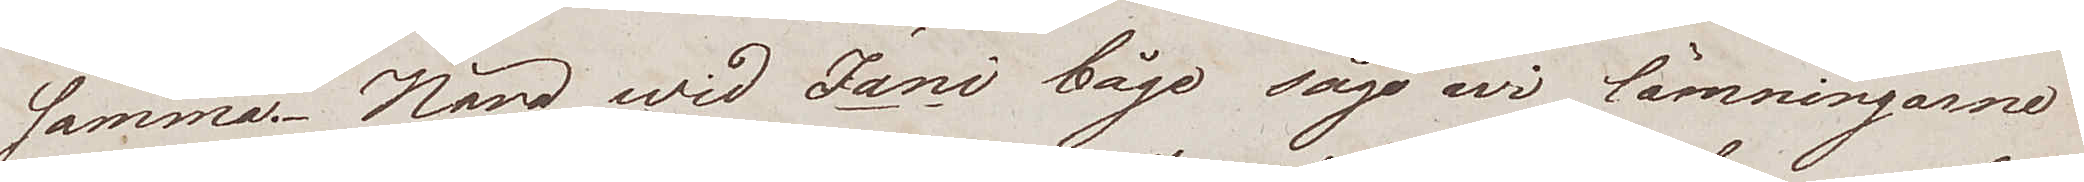samma. Nära wid Jani båge sågo wi lämningarne.
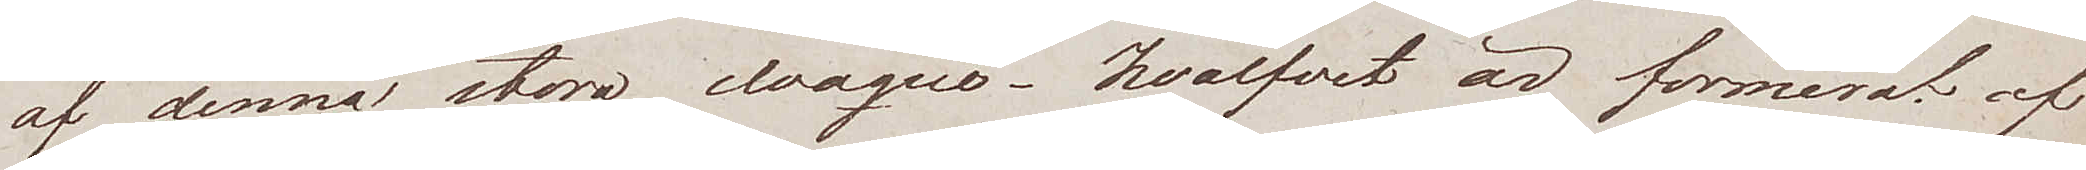af denna, stora cloaque, hvalfvet är formerat, af
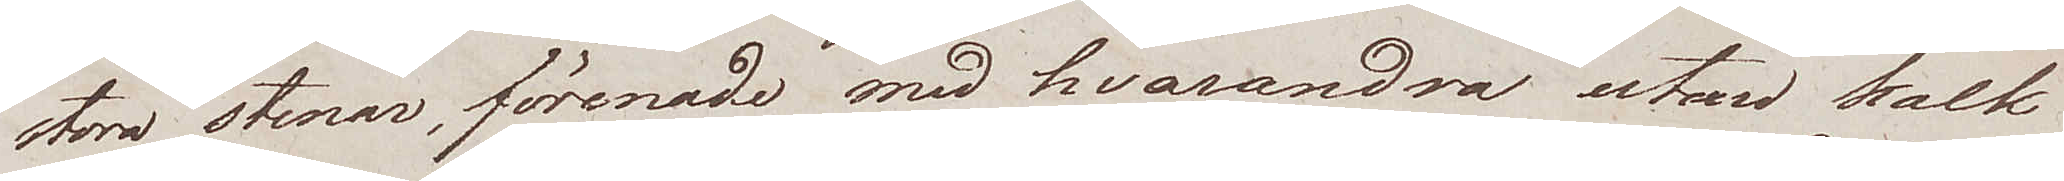stora stenar, förenade med hvarandra utan kalk¬
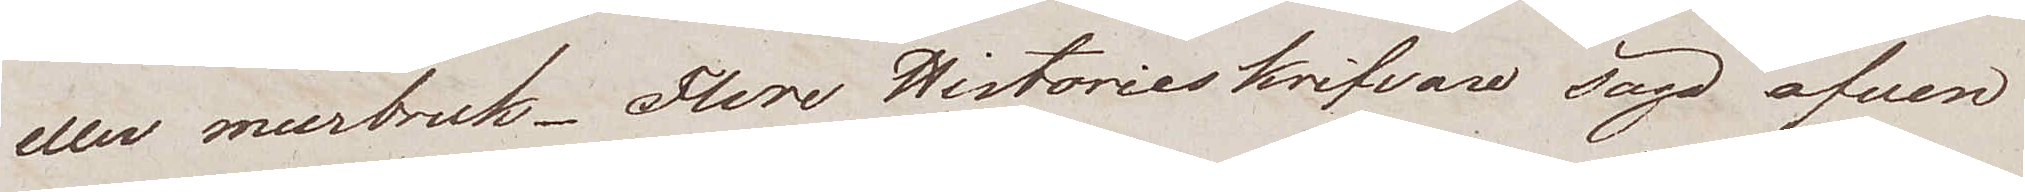eller murbruk. Flere Historieskrifvare sågo äfven
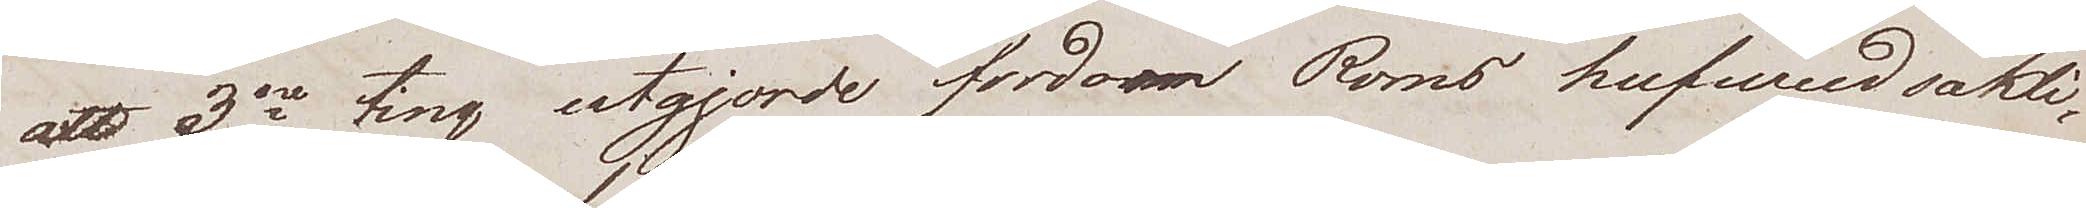att 3ne ting utgjorde fordom Roms hufvudsakli¬
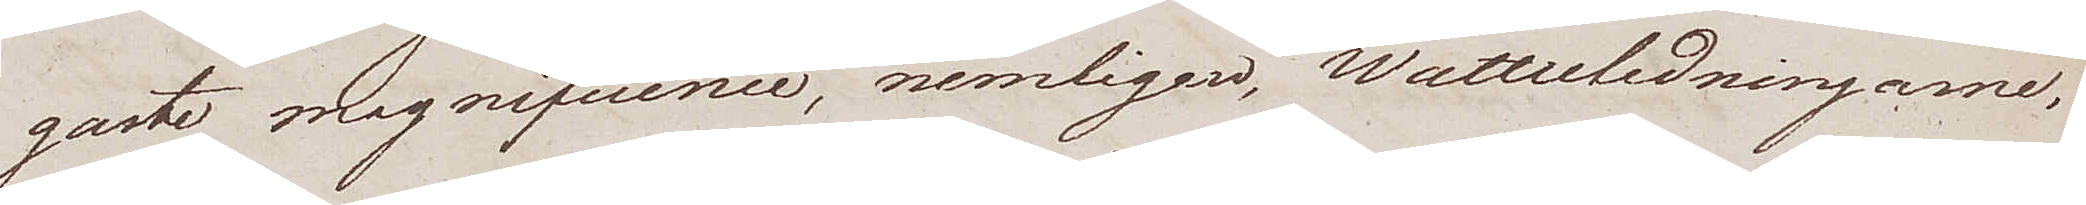gaste magnifcience, nemligen, Wattenledningarne,
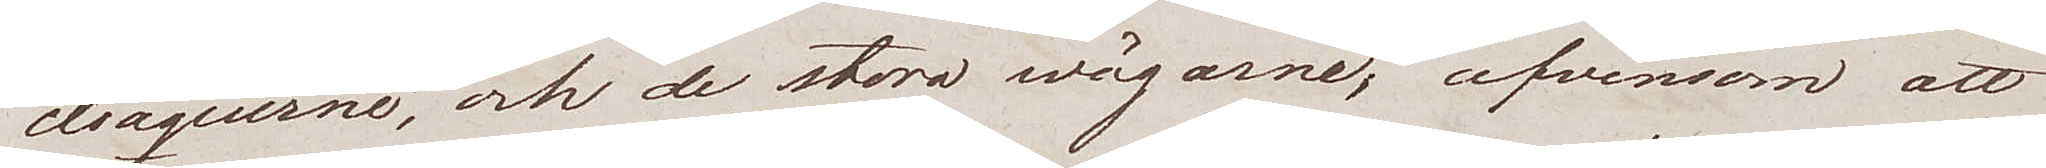cloaquerne, och de stora wägarne; äfvensom att
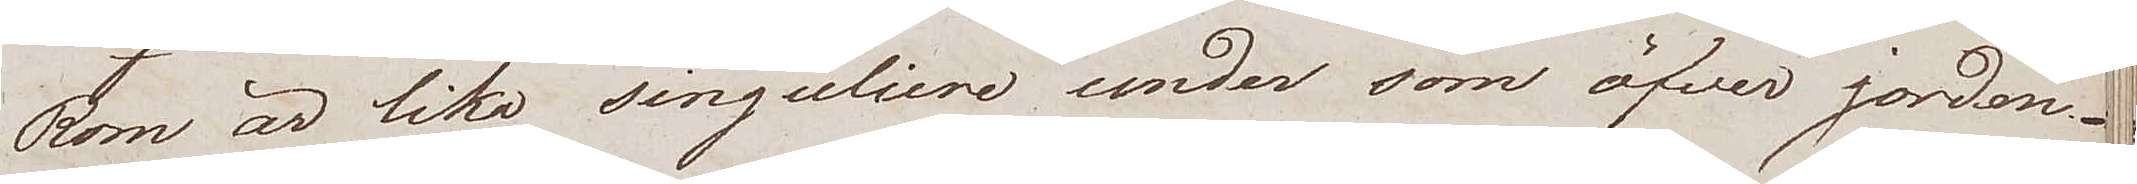Rom är lika singuliere under som öfver jorden.
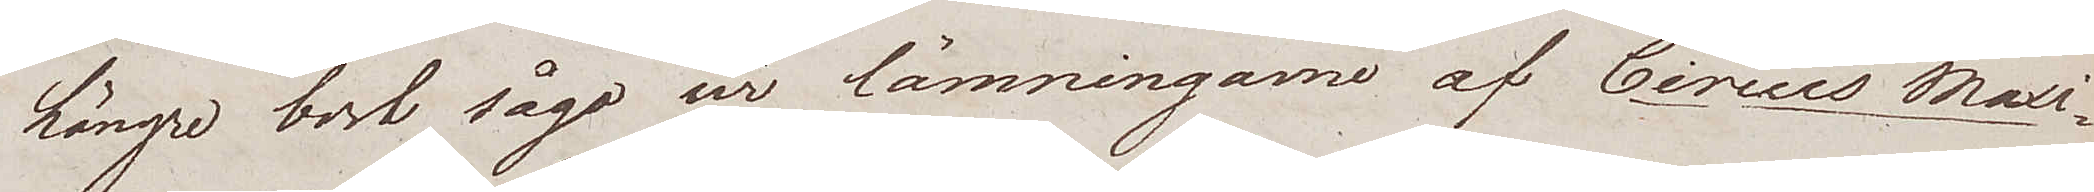Längre bort sågo ur lämningarne af Circus Maxi¬
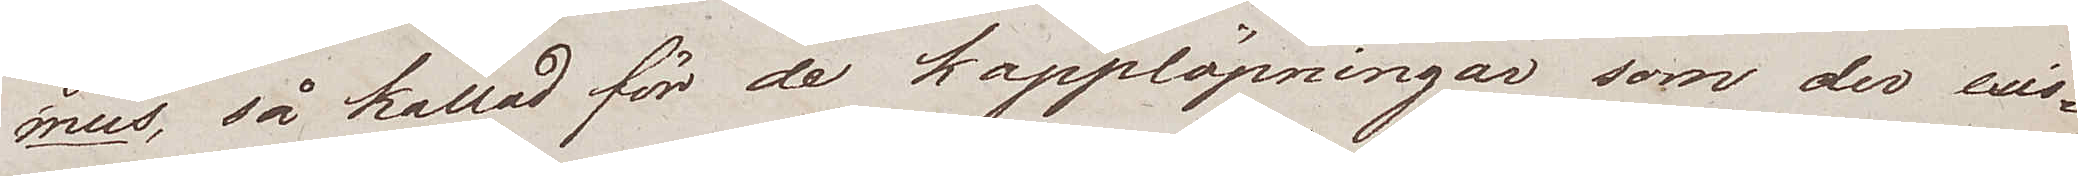mus, så kallad för de kapplöpningar som der exis¬
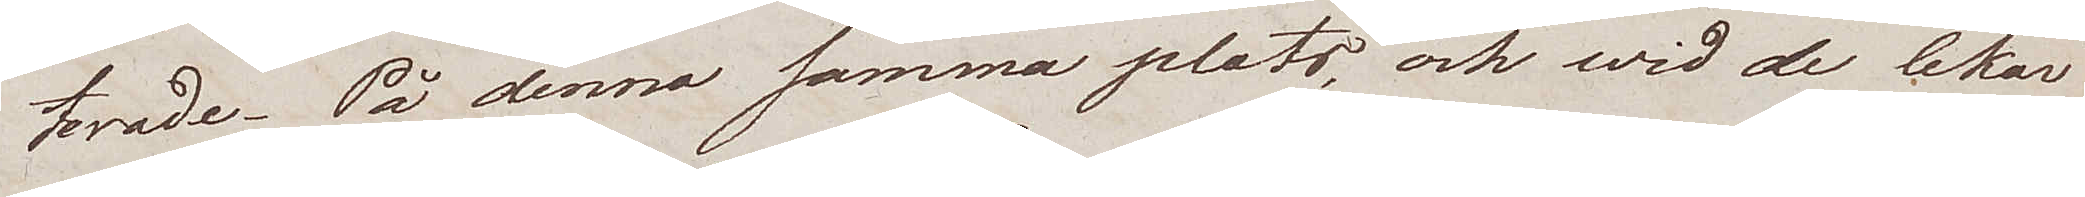terade. På denna samma plats, och wid de lekar
